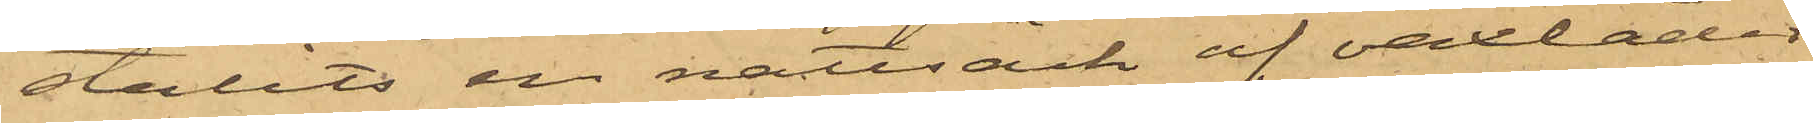stulits en nattsäck af vaxläder
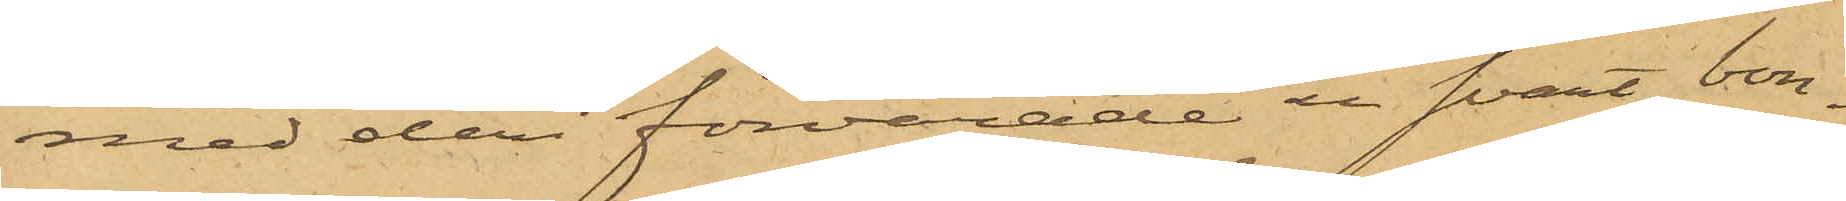med deri förvarade en svart bon¬
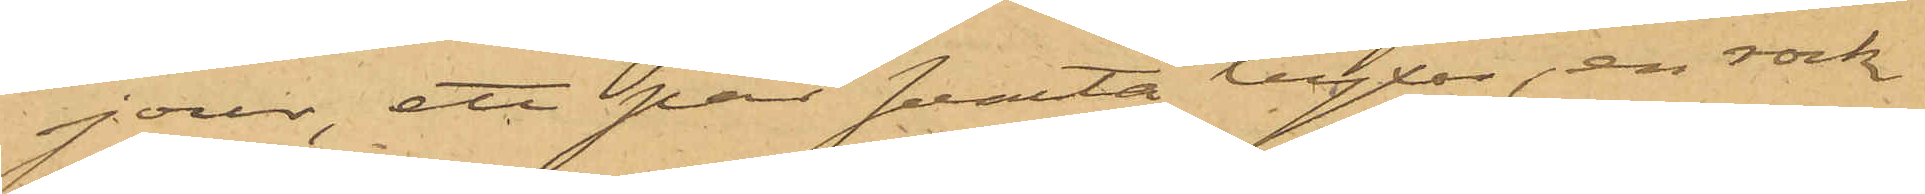jour, ett par svarta byxor, en rock
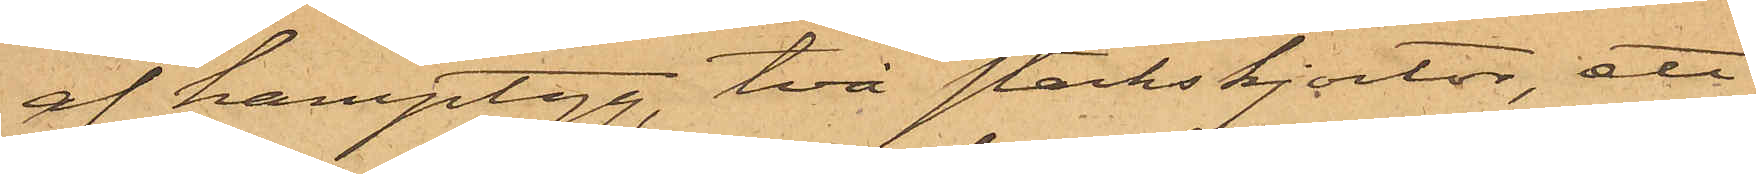af hamptyg, två stärkskjortor, ett
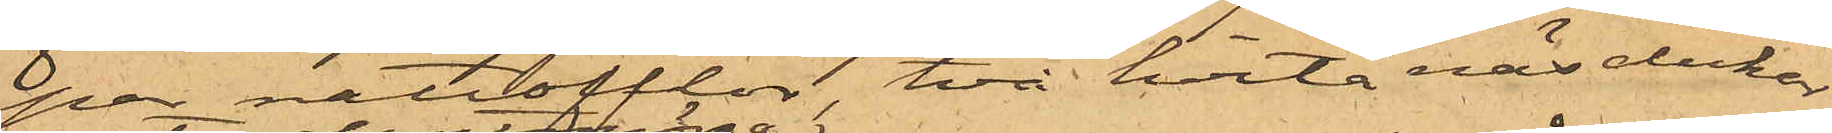par nattofflor, två hvita näsdukar,
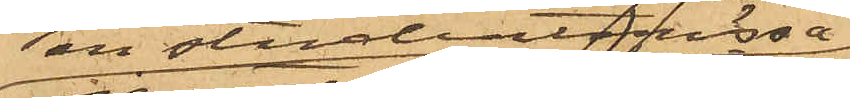en studentmössa
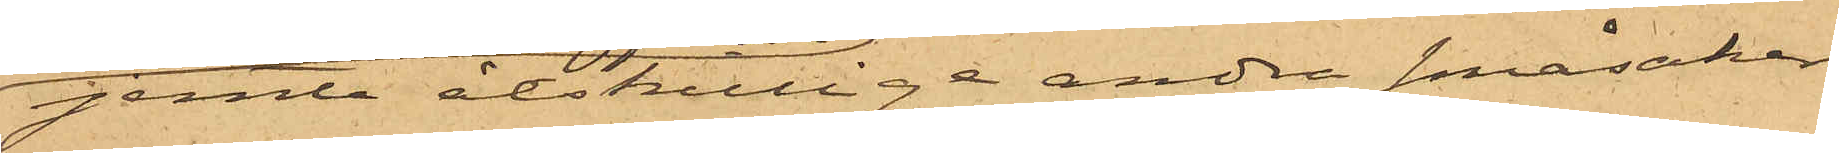jemte åtskillige andra småsaker,
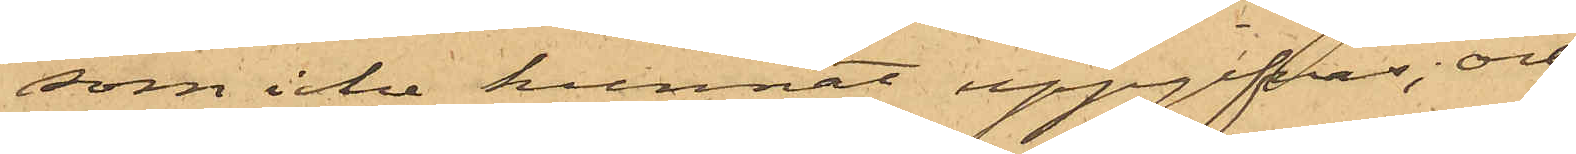som icke kunnat uppgifvas; och
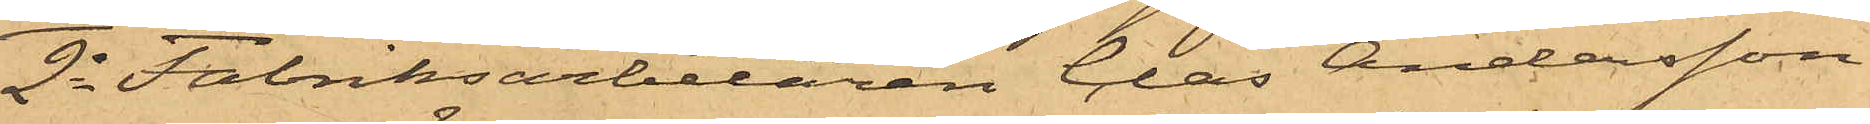2o Fabriksarbetaren Clas Andersson
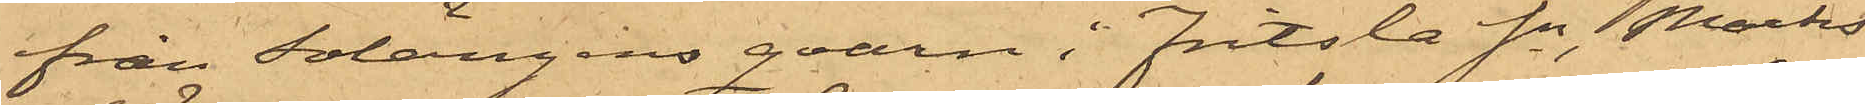från Solängens qvarn i Fritsla Sn, Marks
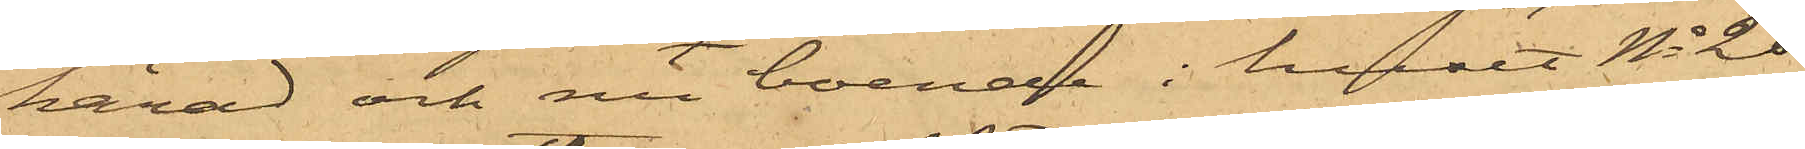härad och nu boende i huset No 20
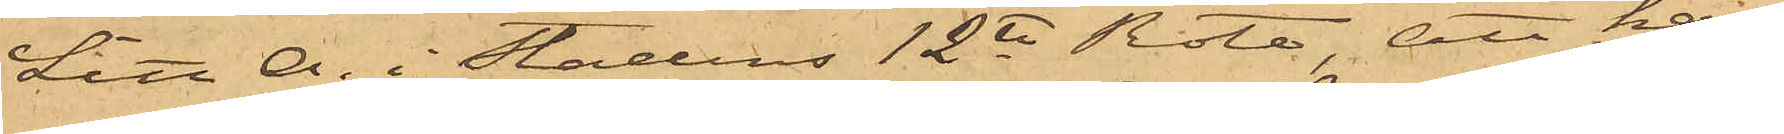Litt A. i Stadens 12te Rote, att han
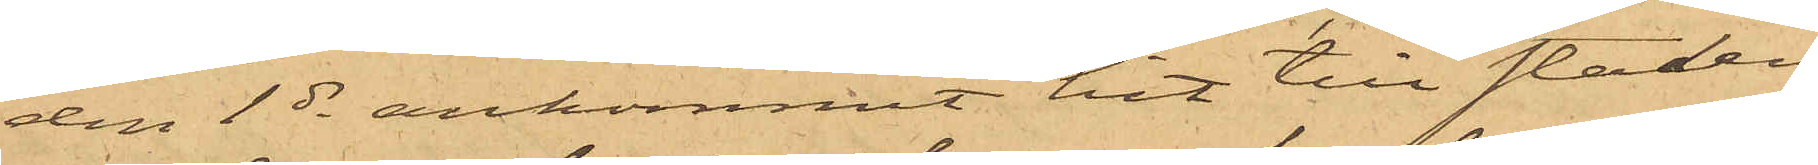den 1 ds ankommit hit till staden
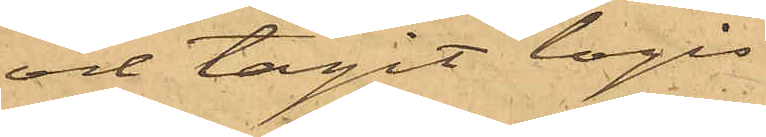och tagit logis
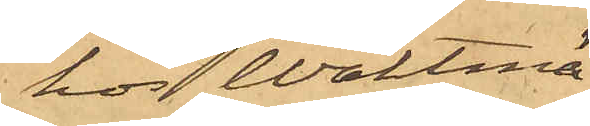hos Waktmä¬
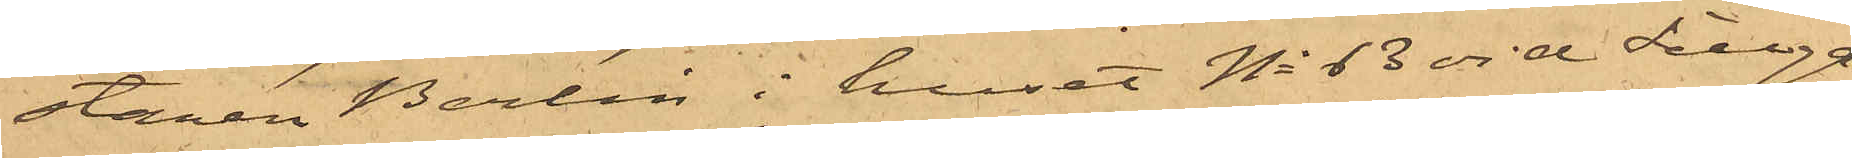staren Berlin i huset No 13 vid Sillga¬
